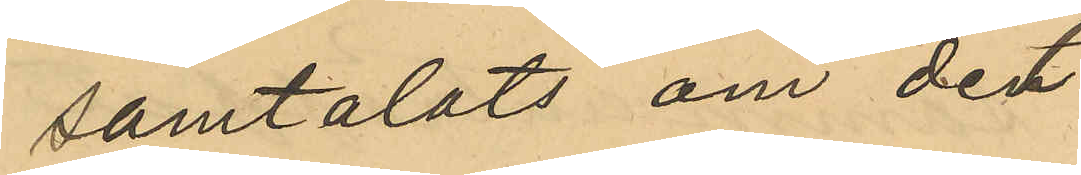samtalat om det 
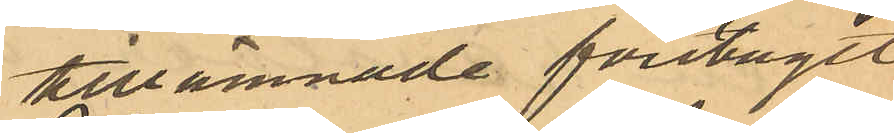tillnämnde förslaget
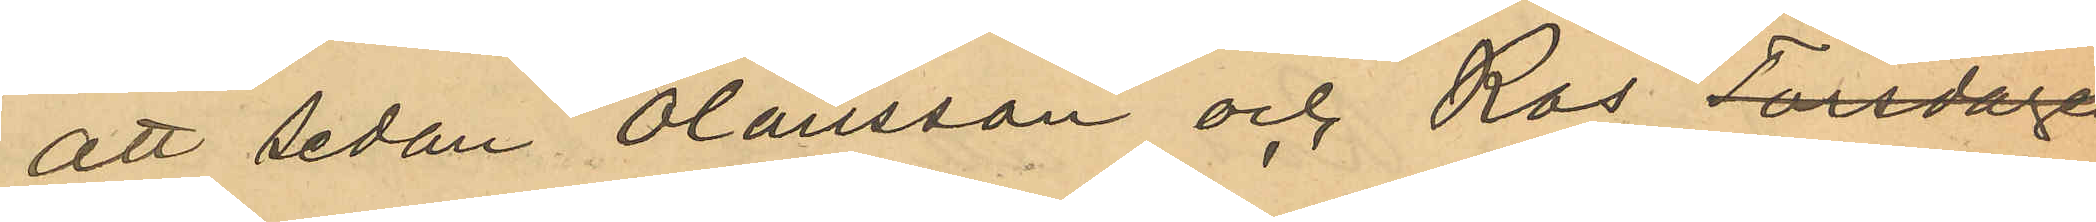att sedan Olausson och Ros Torsdagen
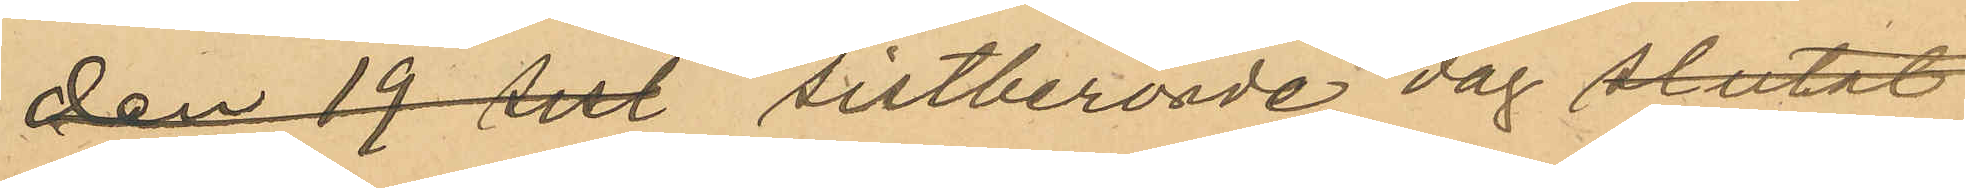den 19 sist. tillberörde dag slutat
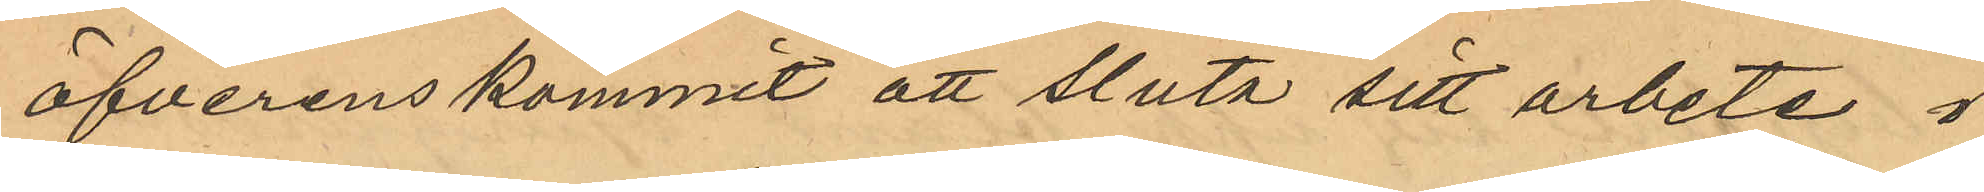öfverenskommit att sluta sitt arbete i
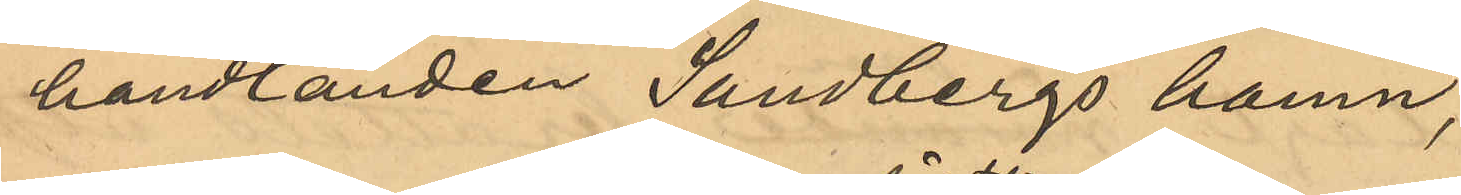handlanden Sandbergs hamn,
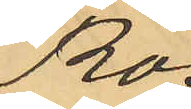Ros
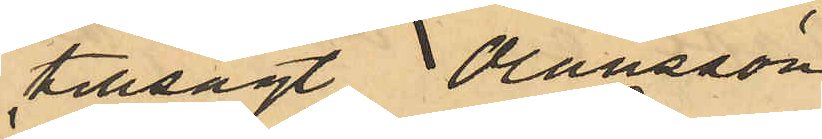tillsagt Olausson
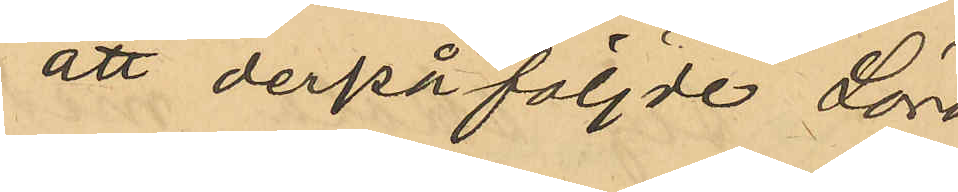att derpåföljde Lördag
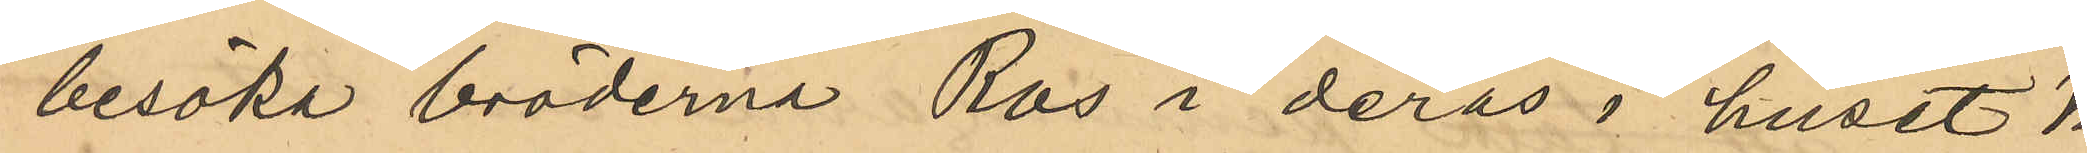besöka bröderna Ros i deras i huset No
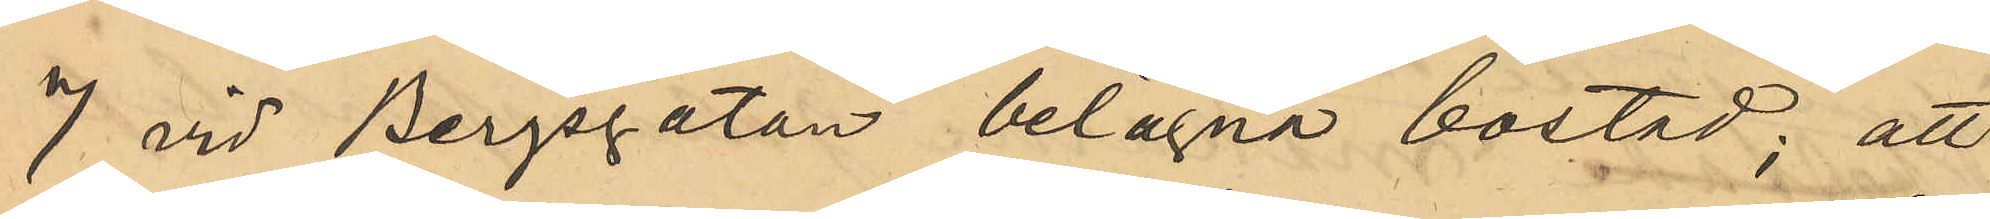7 vid Bergsgatan belägna bostad; att
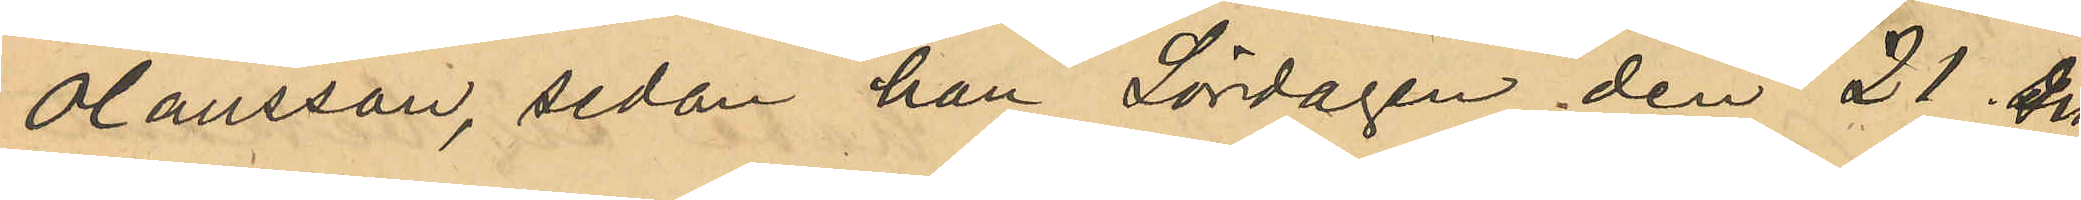Olausson, sedan han Lördagen den 21 des
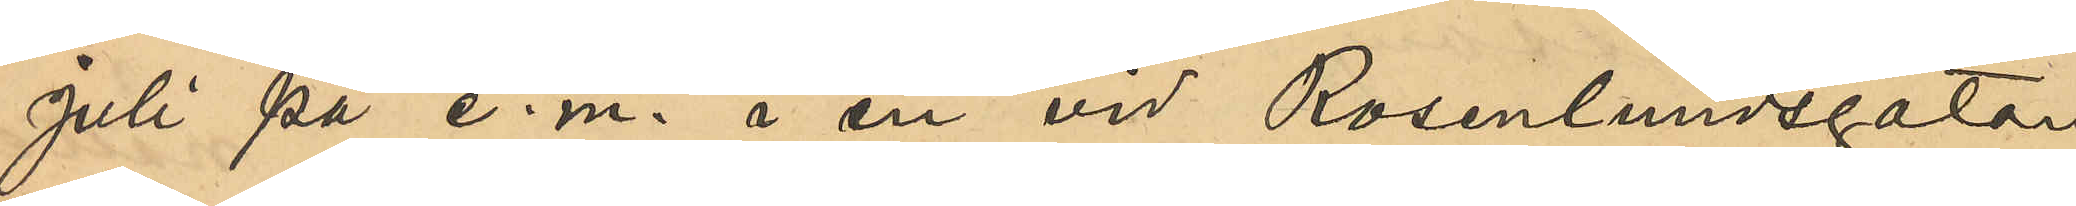Juli på e. m. å en vid Rosenlundsgatan
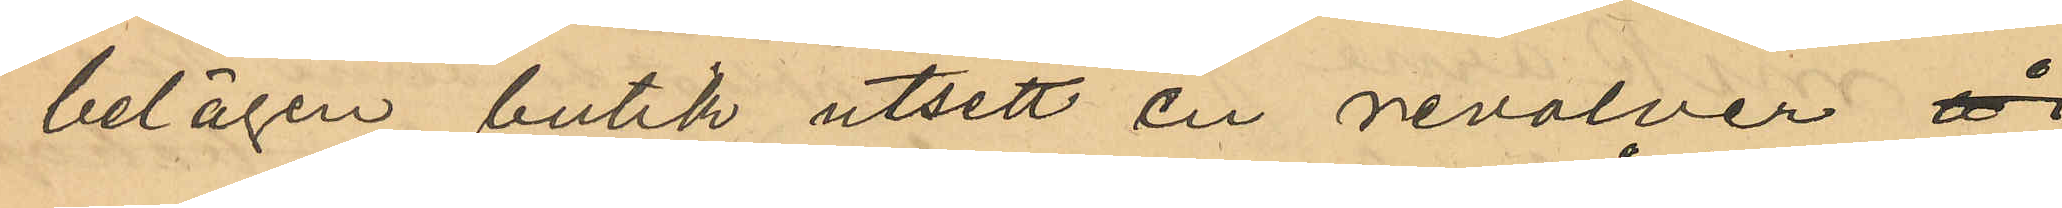belägen butik utsett en revolver å i
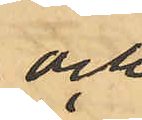och
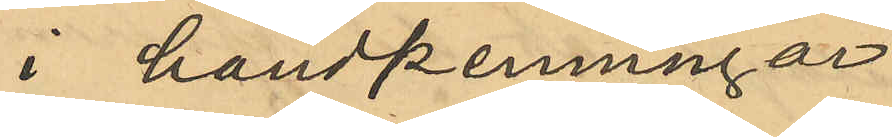i handpenning 
